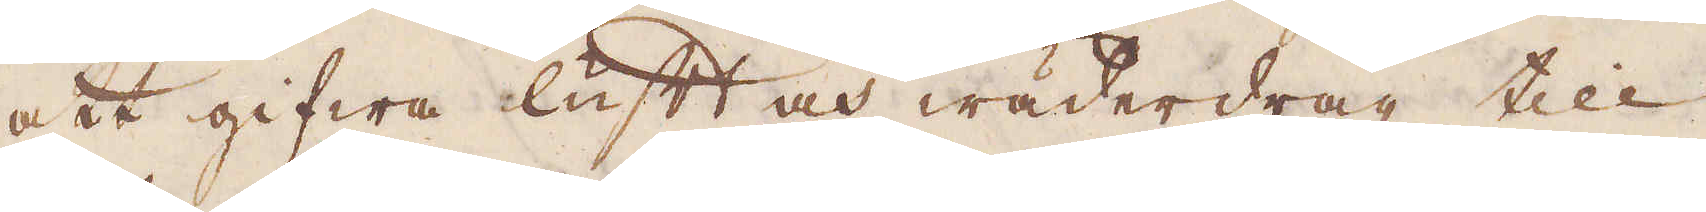att gifwa luft och wäderdrag till
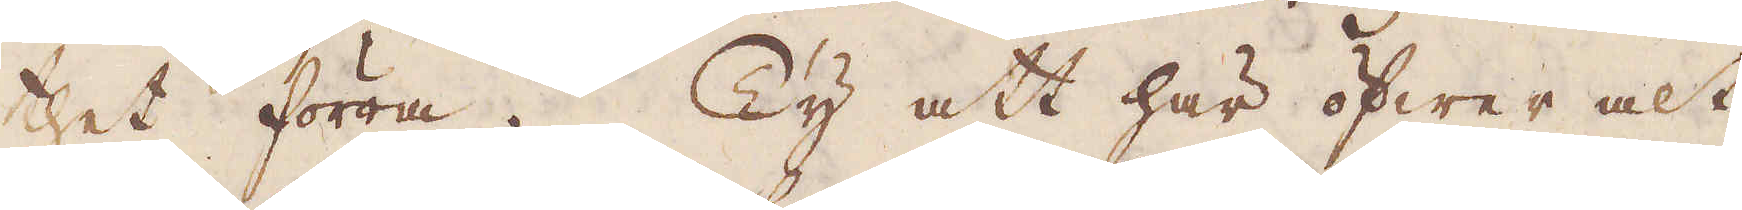thet förra. Ty att här öfwer alt
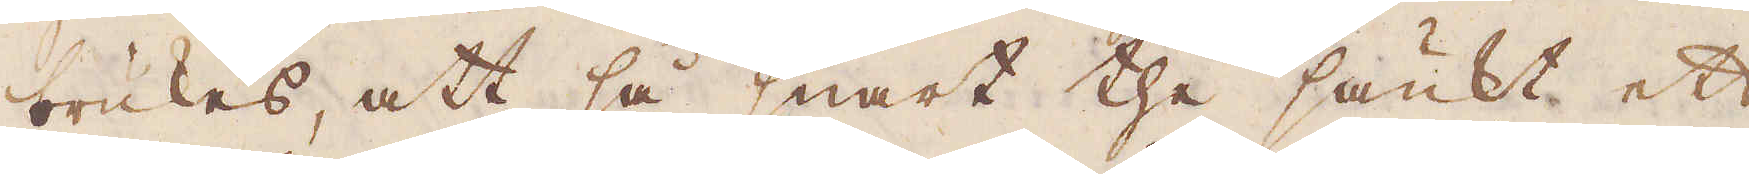brukas, att få snart the sänkt ett
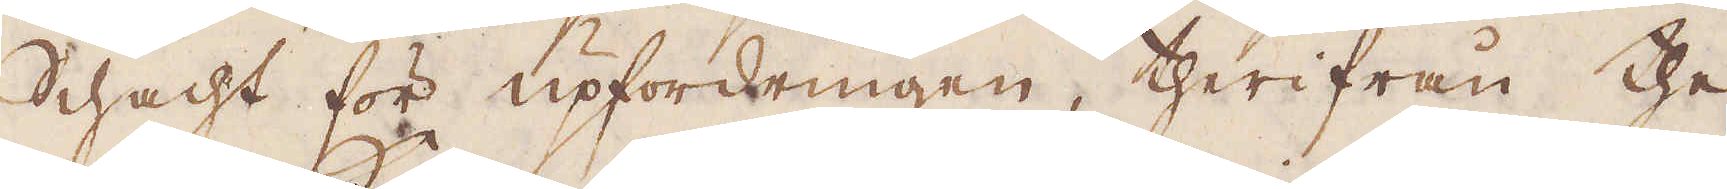schacht för upfordringen, therifrån the
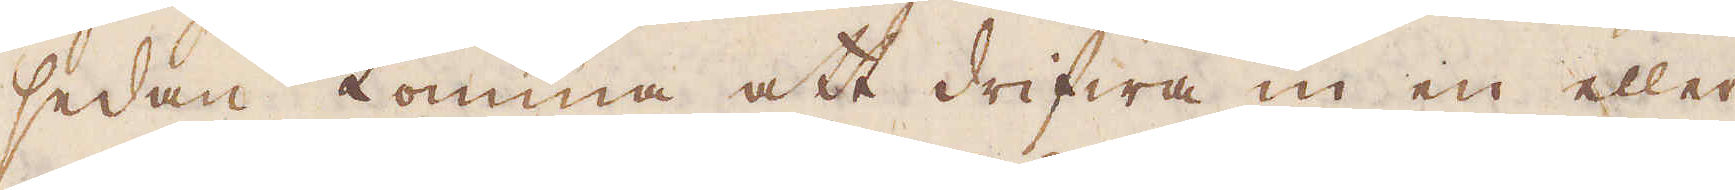sedan komma att drifwa in en eller
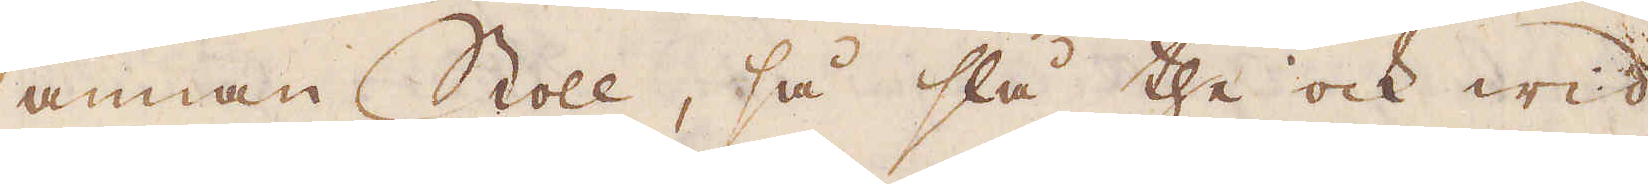annan Stoll, så slå the ock wid
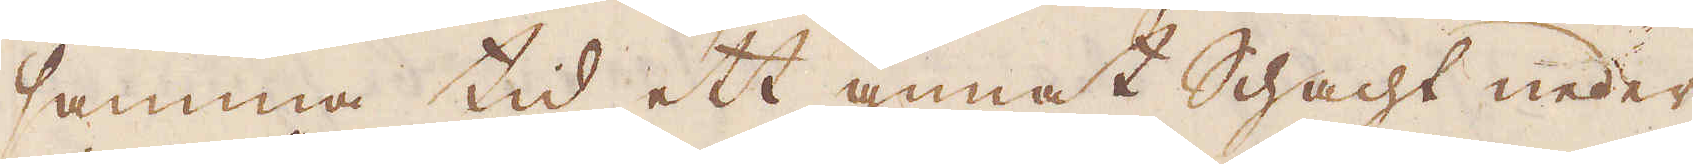samma tid ett annat schacht neder
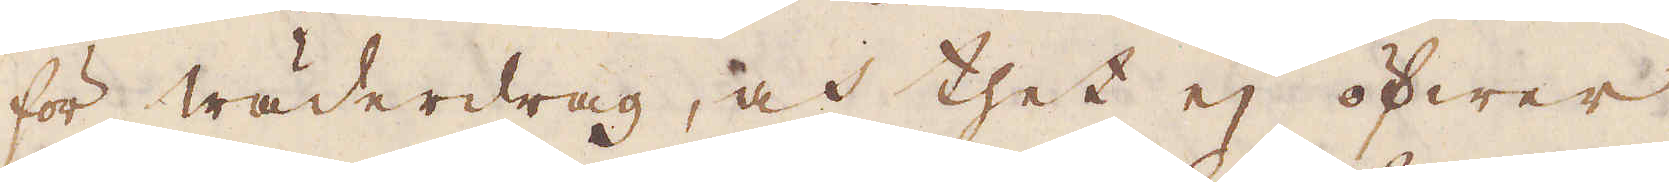för wäderdrag, at thet ej öfwer
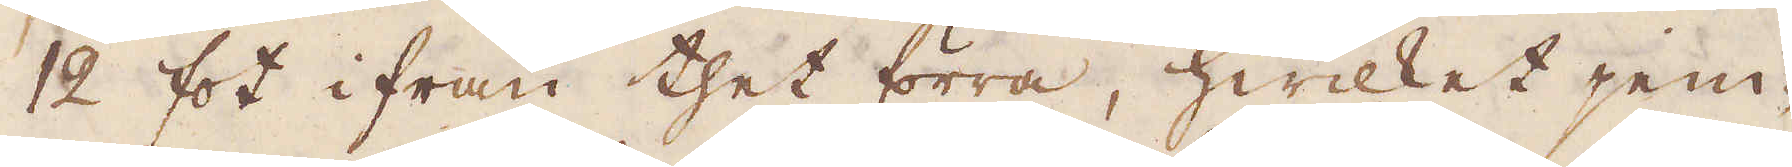12 fot ifrån thet förra, hwilket jem-
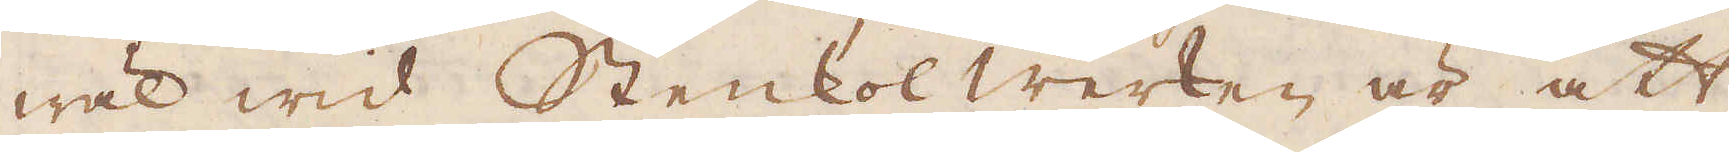wäl wid Stenkolwerken är att
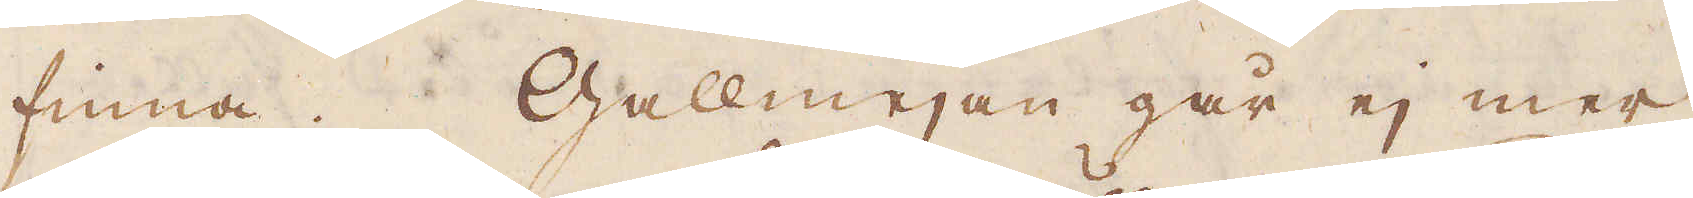finna. Gallmejan går ej mer
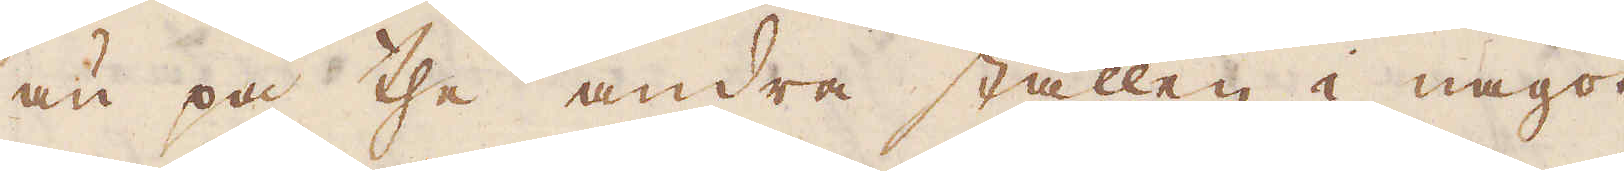än på the andra ställen i något
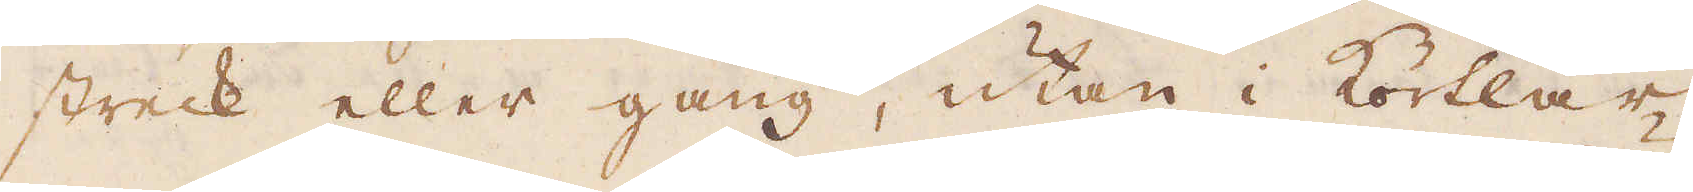streck eller gång, utan i körtlar,
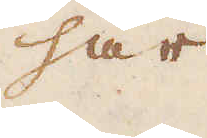här
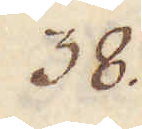38.
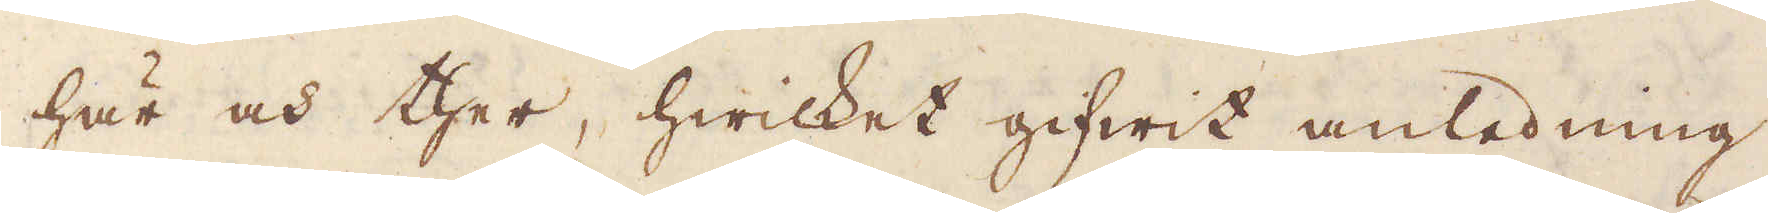här och ther, hwilket gifwit anledning
